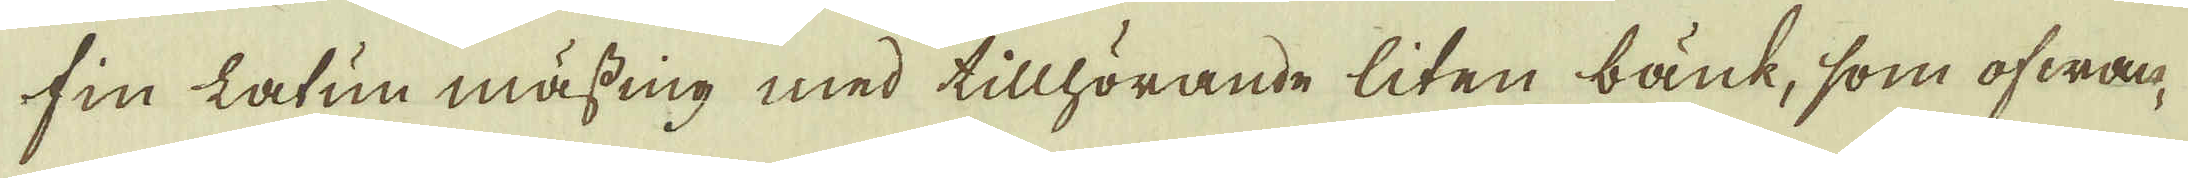fin Latun mässing med tillhörande liten bänk, som ofwan-
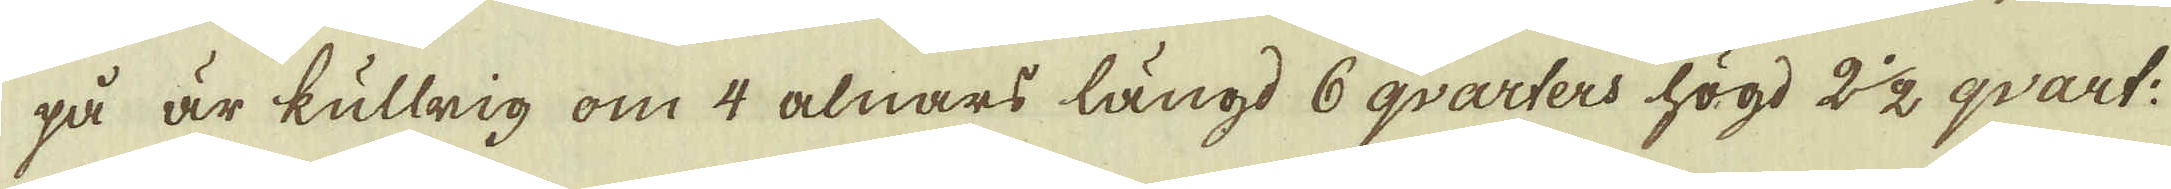på är kullrig om 4 alnars längd 6 qvarters högd 2 1/2 qvart:
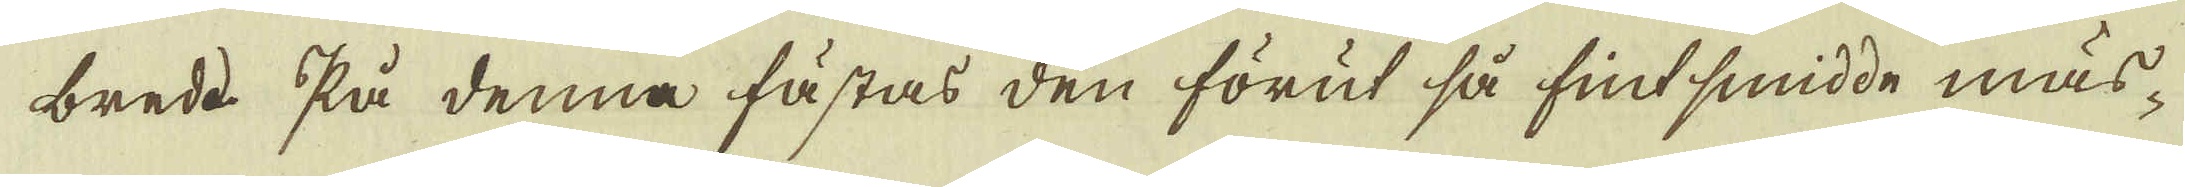brede. På denna fästas den förut så fint smidde mäs-
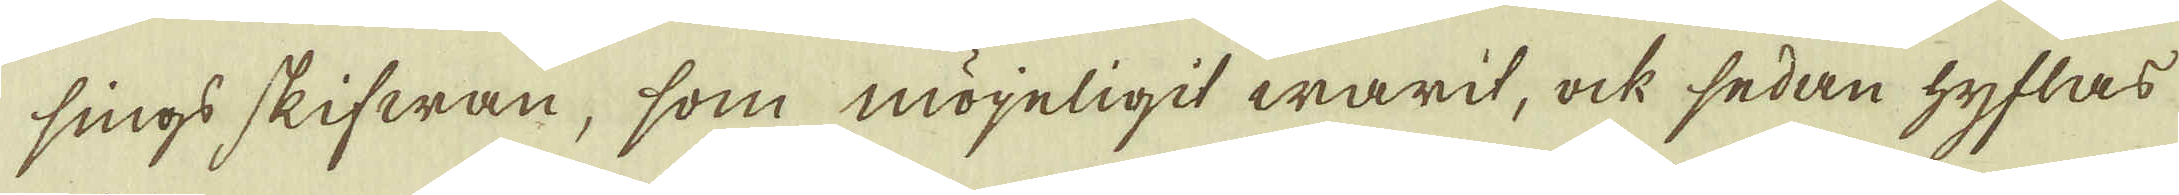sings skifwan, som möyeligit warit, ock sedan hyflas
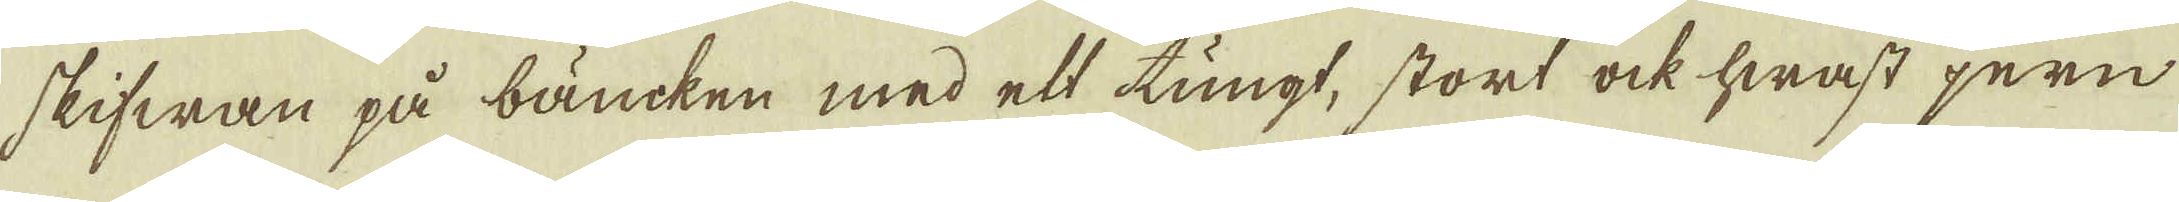skifwan på bäncken med ett tungt, stort ock hwast jern
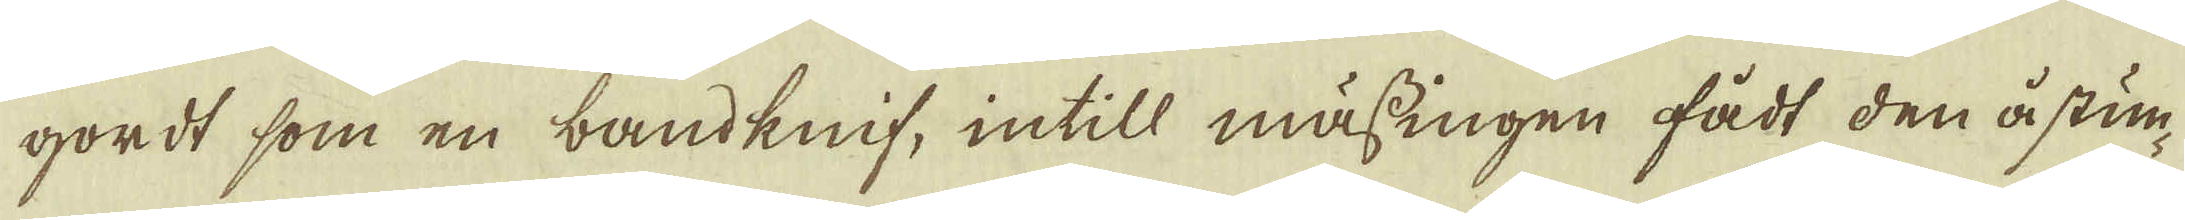gordt som en bandknif, intill mässingen fådt den åstun-
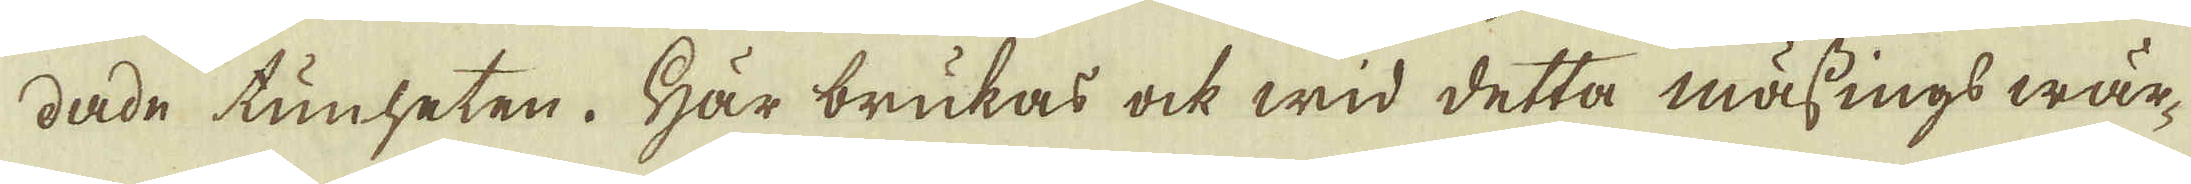dade tunheten. Här brukas ock wid detta mässings wär-
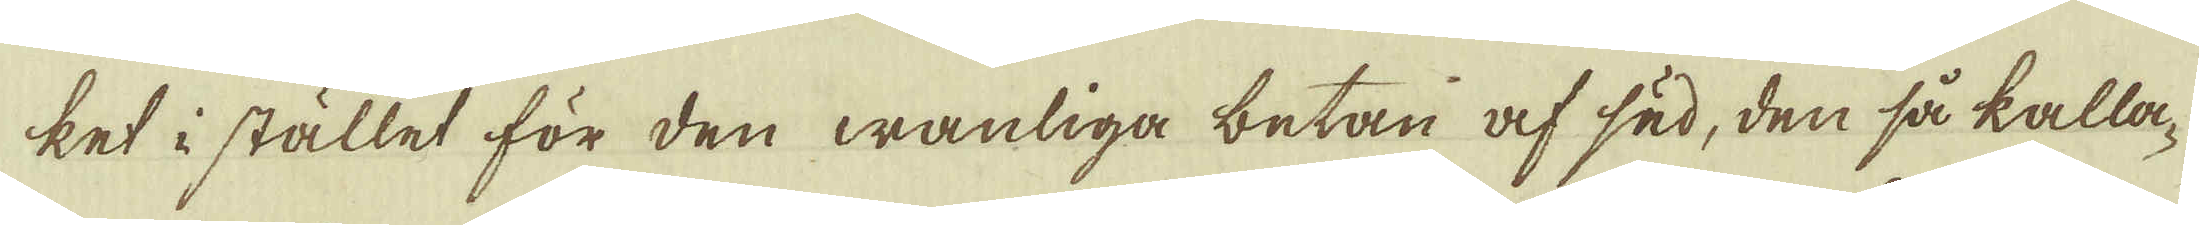ket i stället för den wanliga betan af säd, den så kalla-
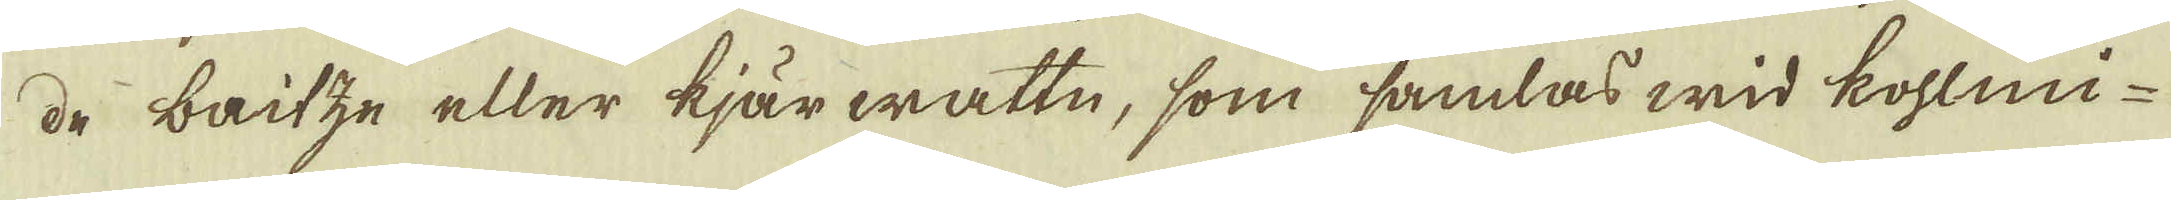de baitze eller kjärwatte, som samlas wid kohlmi-
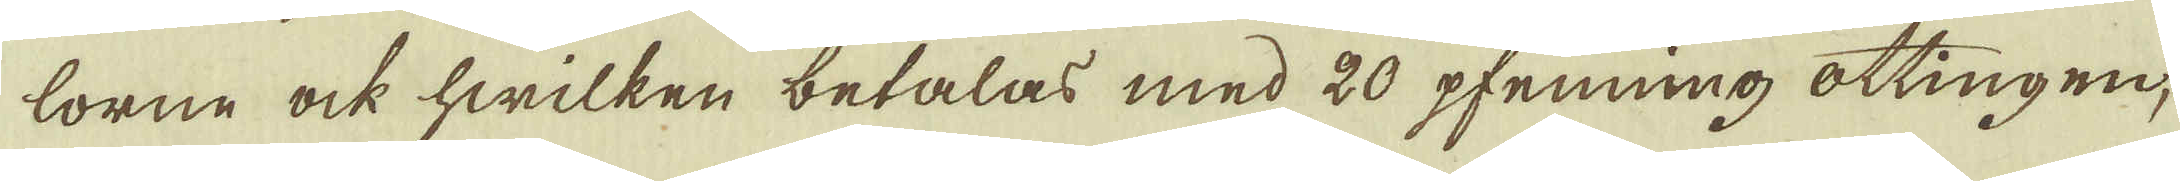lorne ock hwilken betalas med 20 pfenning ottingen
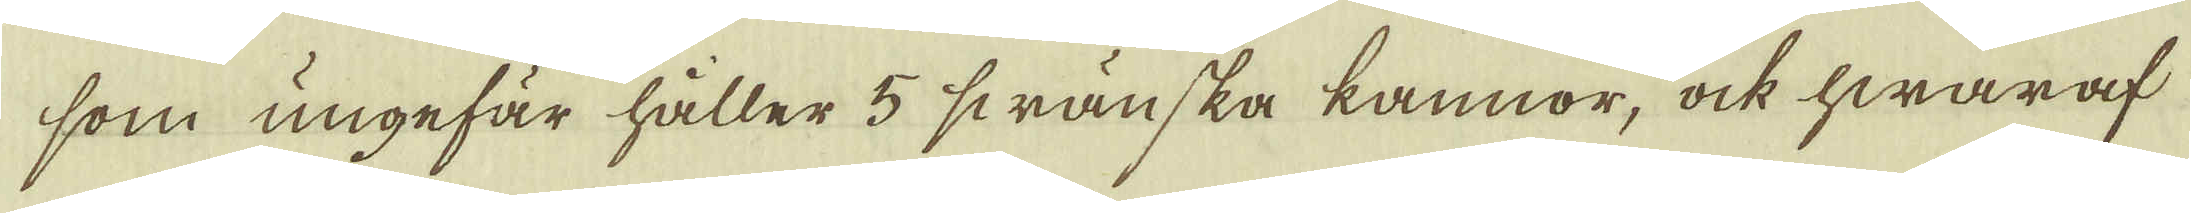som ungefär håller 5 swänska kannor, ock hwaraf
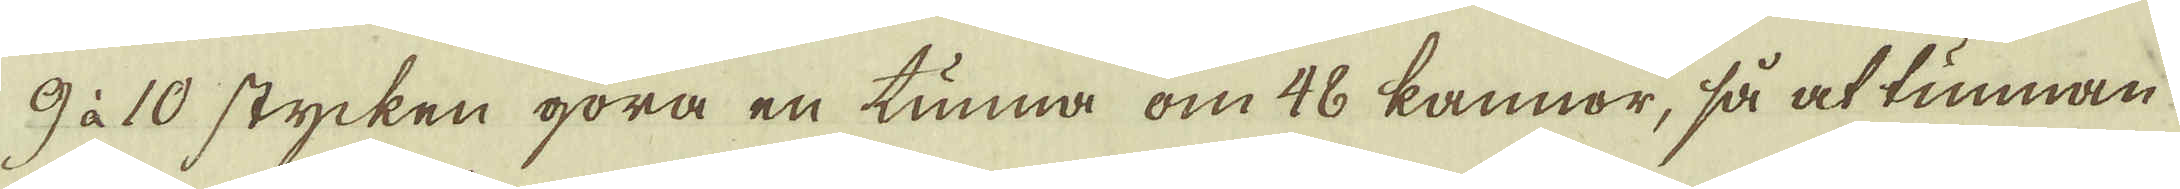9 à 10 stycken göra en tunna om 48 kannor, så at tunnan
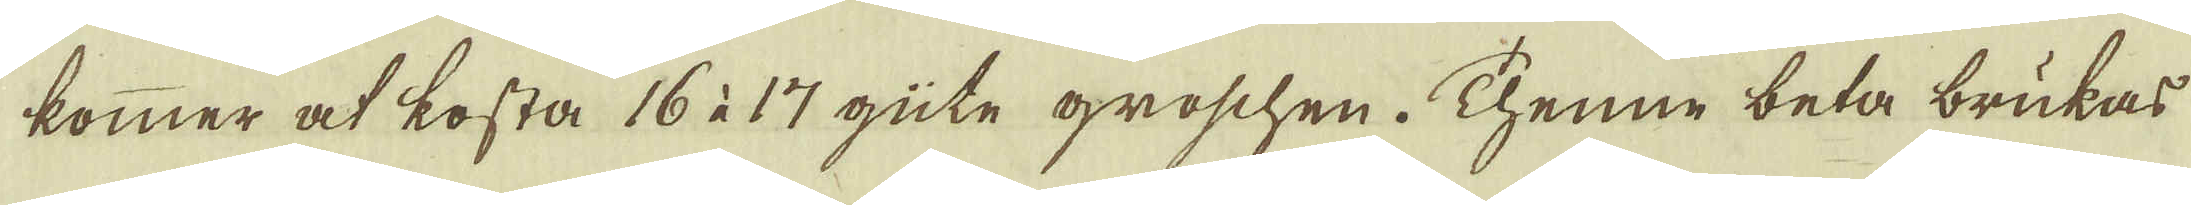kommer at kosta 16 à 17 güte groschen. Thenne beta brukas
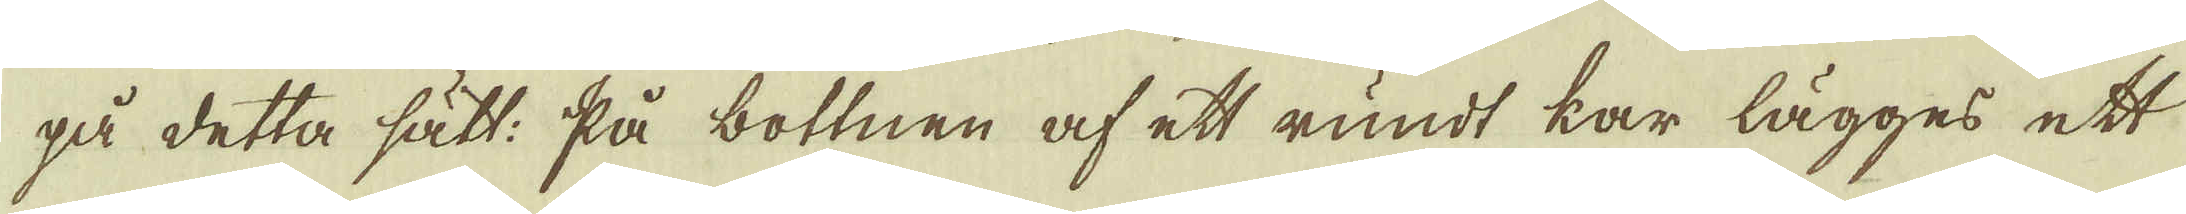på detta sätt: På bottnen af ett rundt kar lägges ett
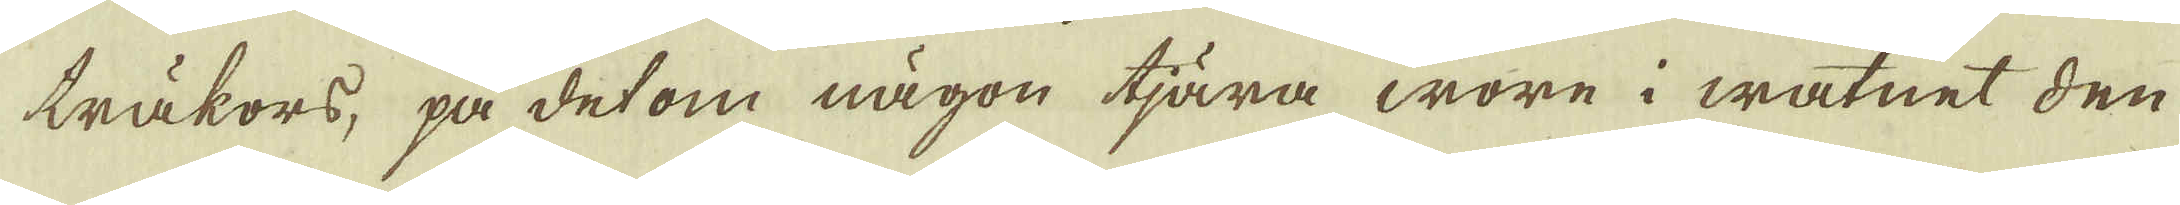träkors, på det om någon tjära wore i watnet den
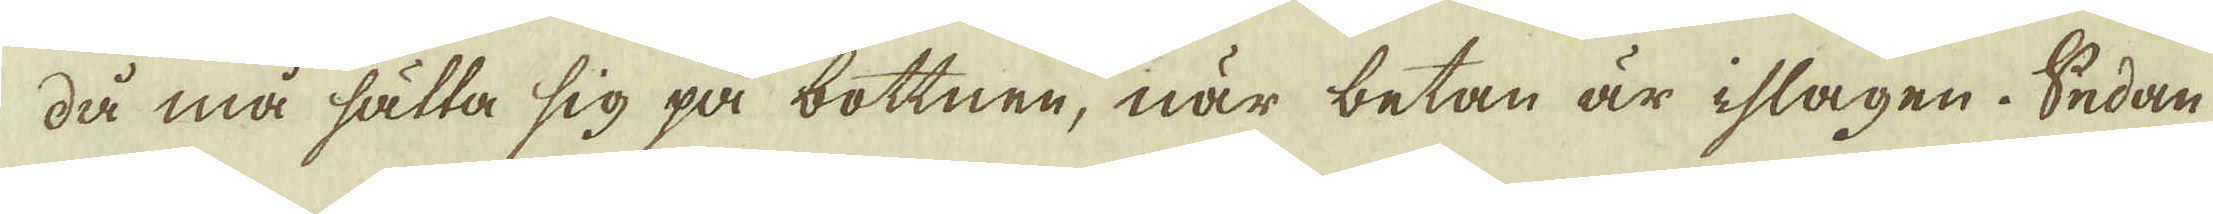då må sälla sig på bottnen, när betan är islagen. Sedan
